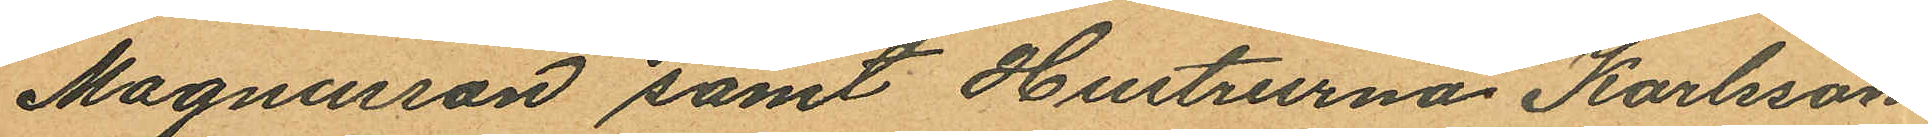Magnusson samt Hustrurna Karlsson
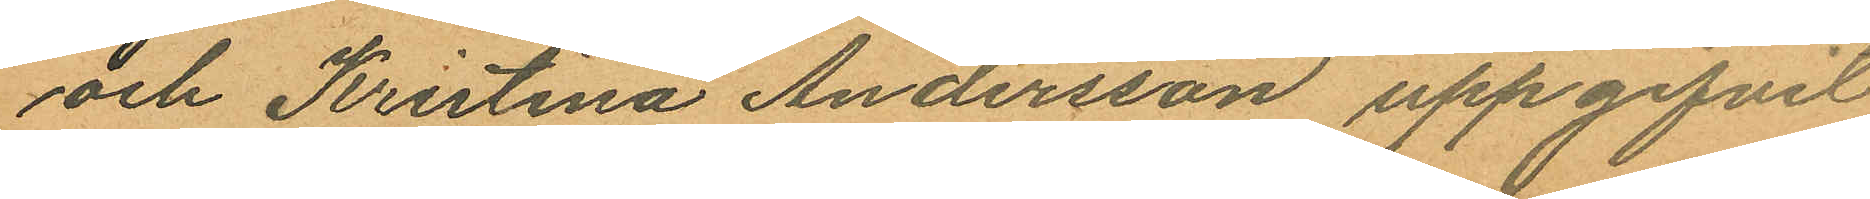och Kristina Andersson uppgifvit
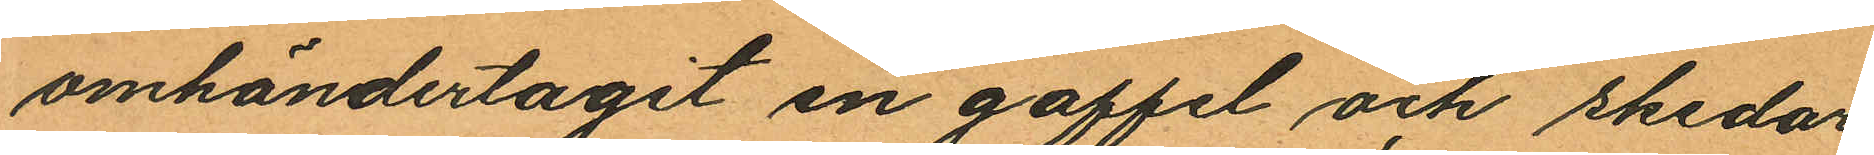omhändertagit en gaffel och skedar
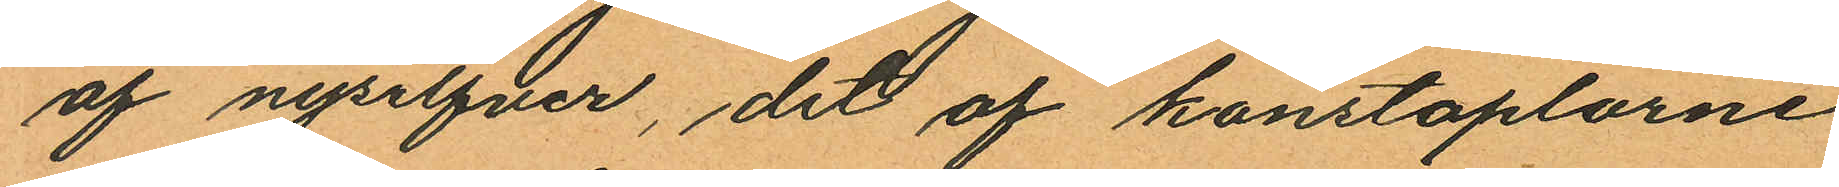af nysilfver, det af konstaplarne
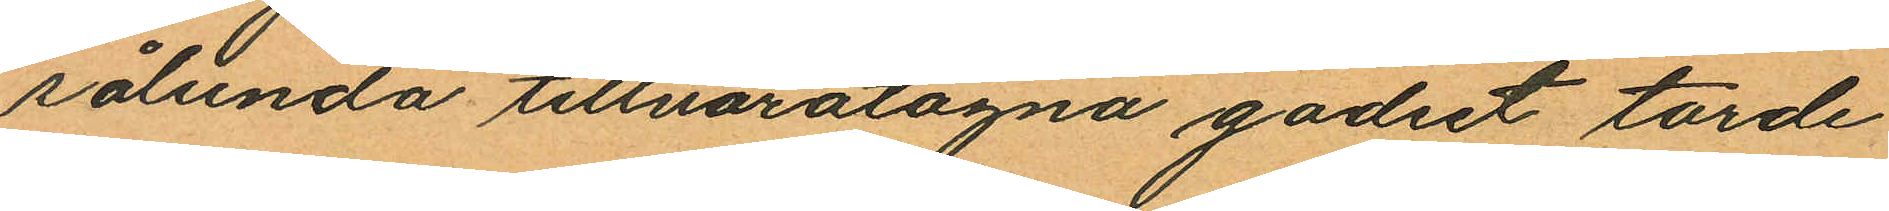sålunda tillvaratagna godset torde
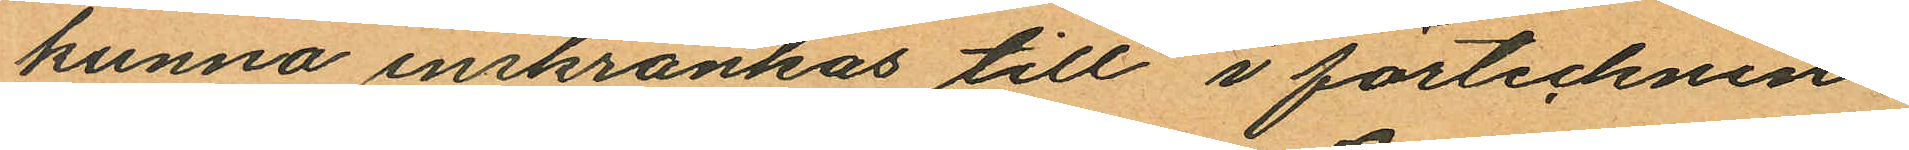kunna inskränkas till i förtecknin
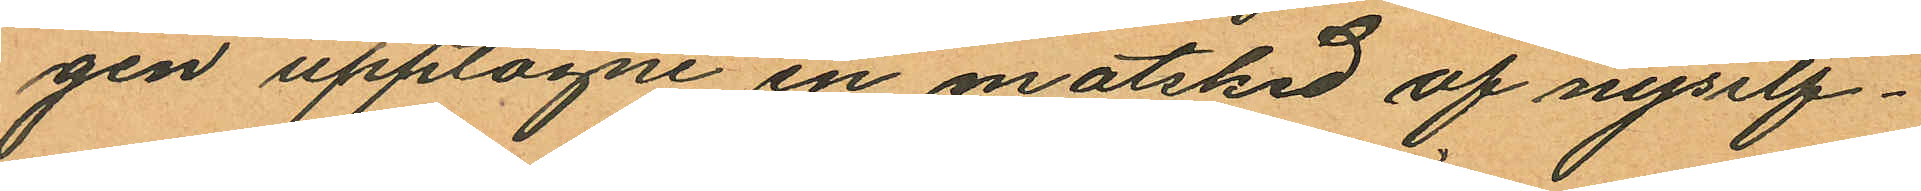gen upptagne en matsked af nysilf¬
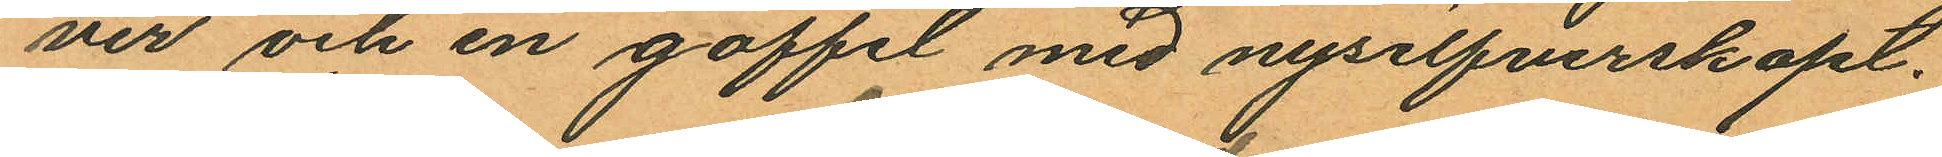ver och en gaffel med nysilfverskaft.
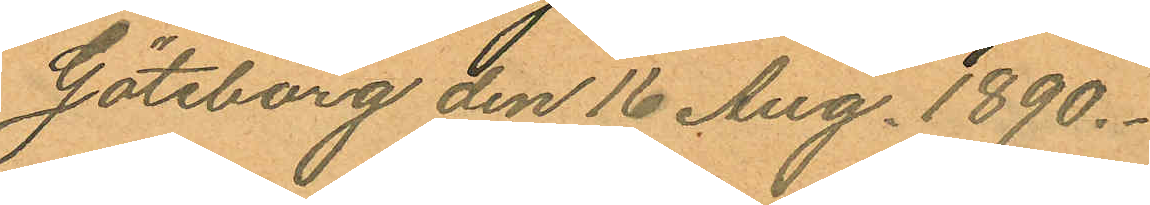Göteborg den 16 Aug. 1890.
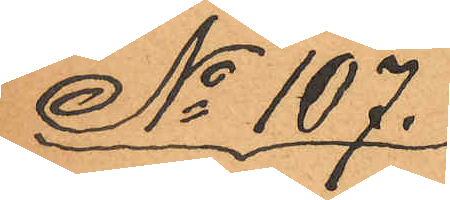No 107.
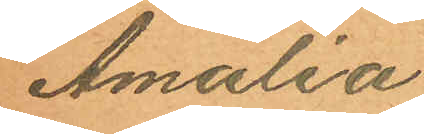Amalia
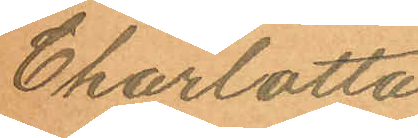Charlotta
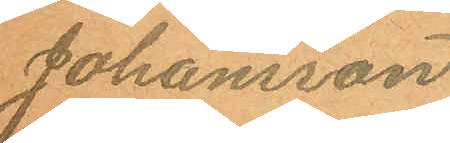Johansson
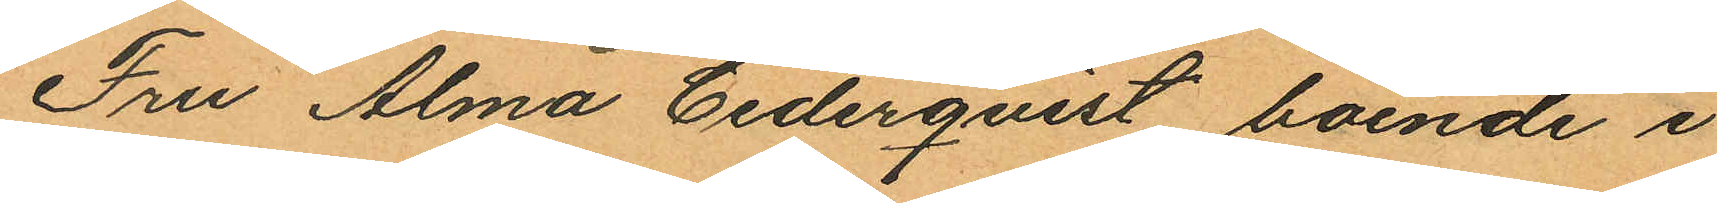Fru Alma Cederqvist boende i
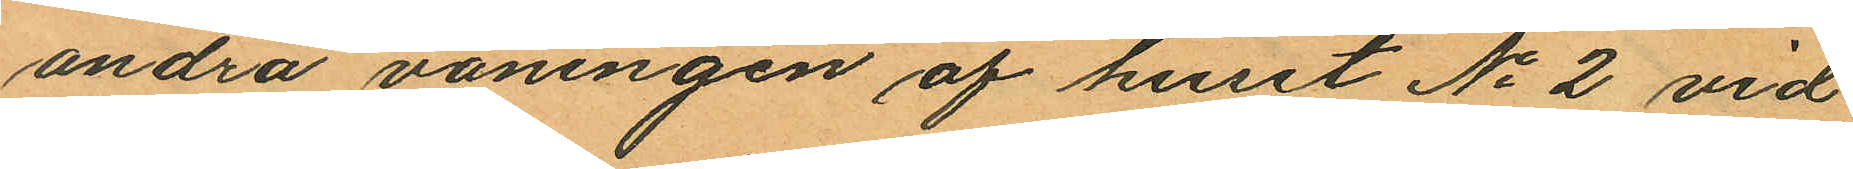andra våningen af huset No 2 vid
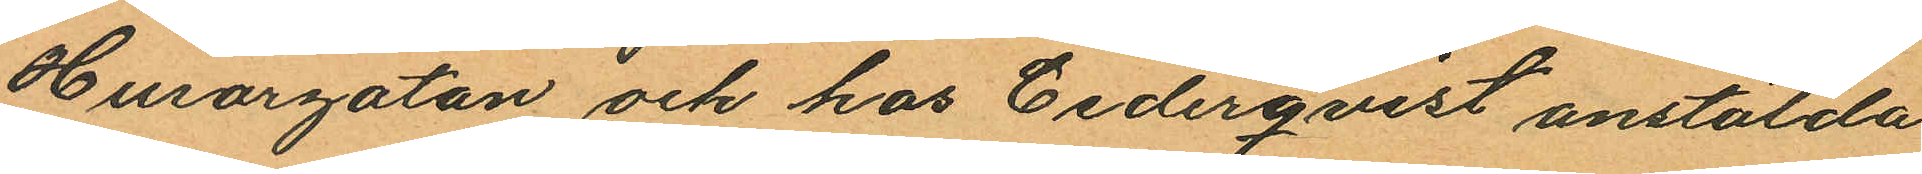Husargatan och hos Cederqvist anstälda
